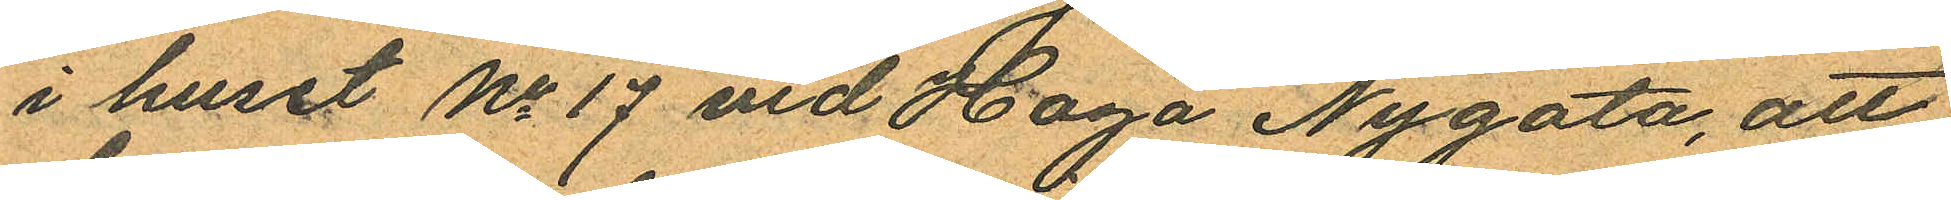i huset No 17 vid Haga Nygata, att
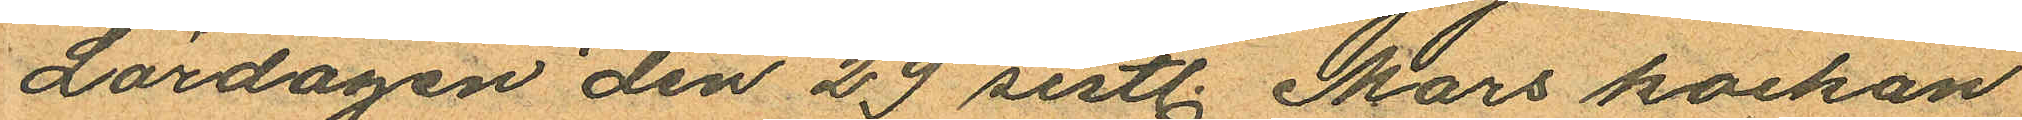Lördagen den 29 sistl. Mars kockan
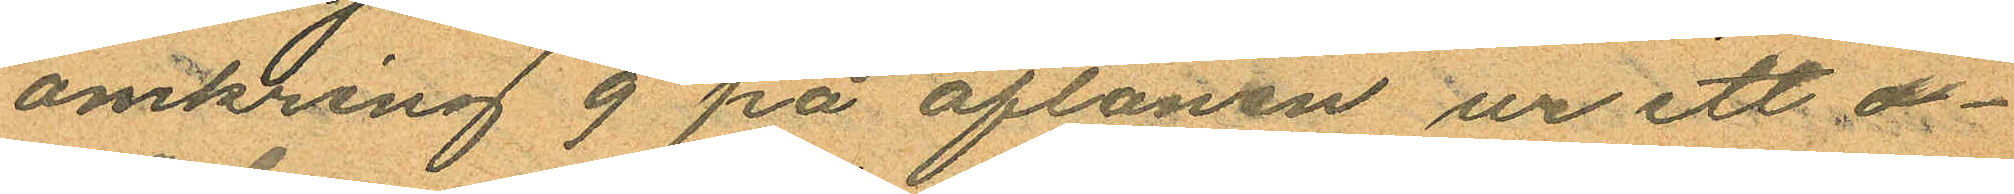omkring 9 på aftonen ur ett o¬
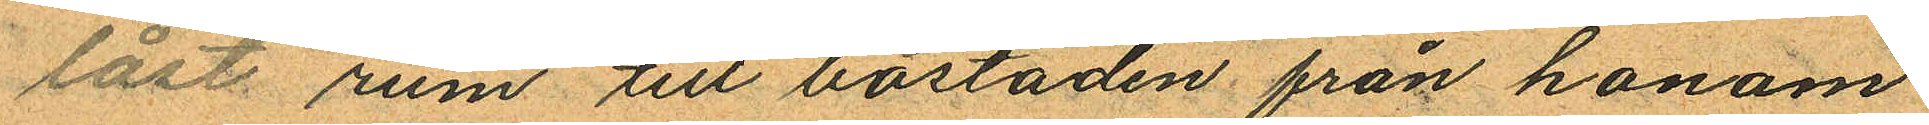låst rum till bostaden från honom
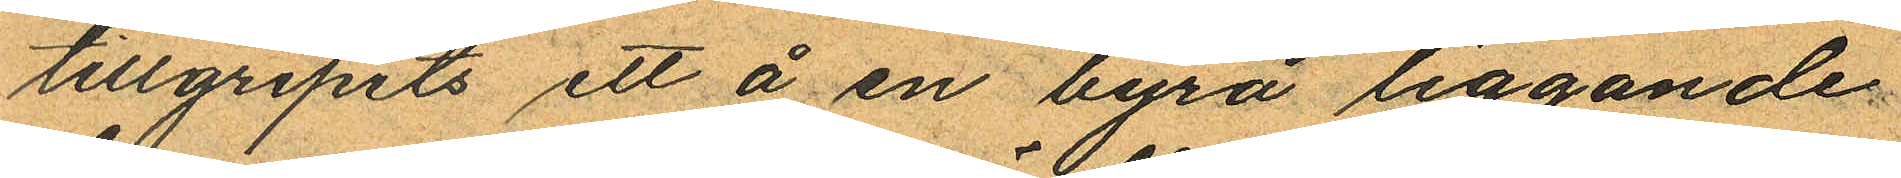tillgripits ett å en byrå liggande
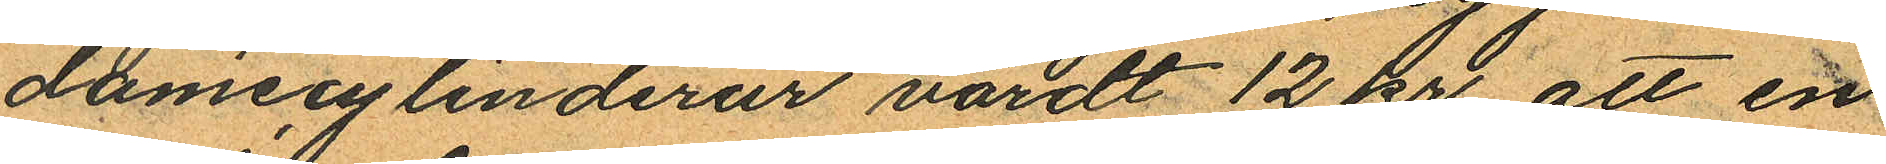damecylinderur värdt 12 kr att en
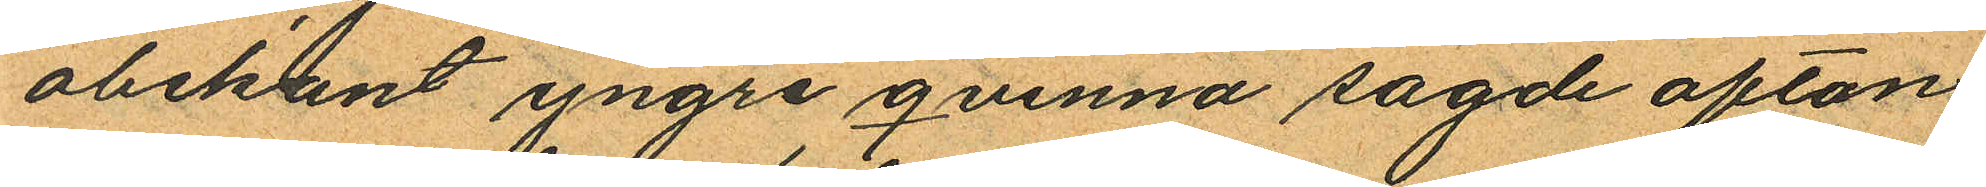obekant yngre qvinna sagde afton
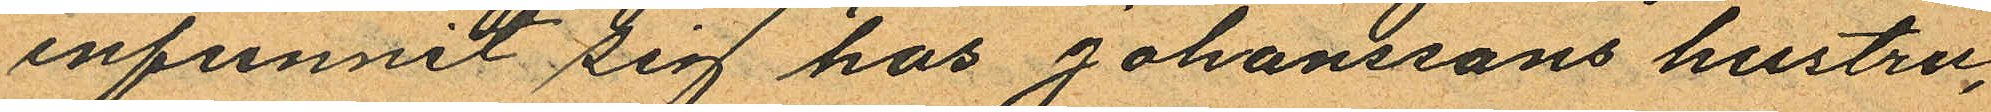infunnit sig hos Johanssons hustru,
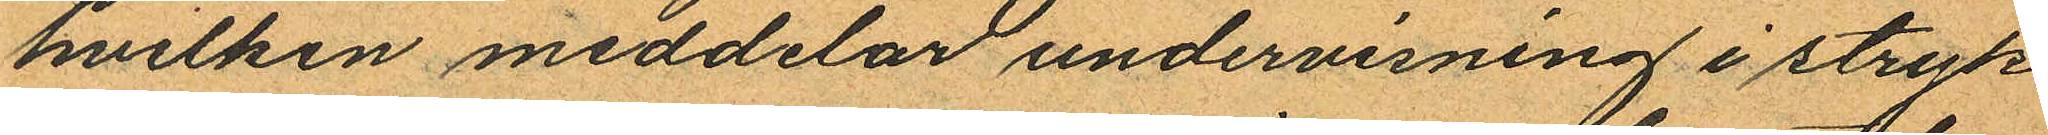hvilken meddelar undervisning i stryk
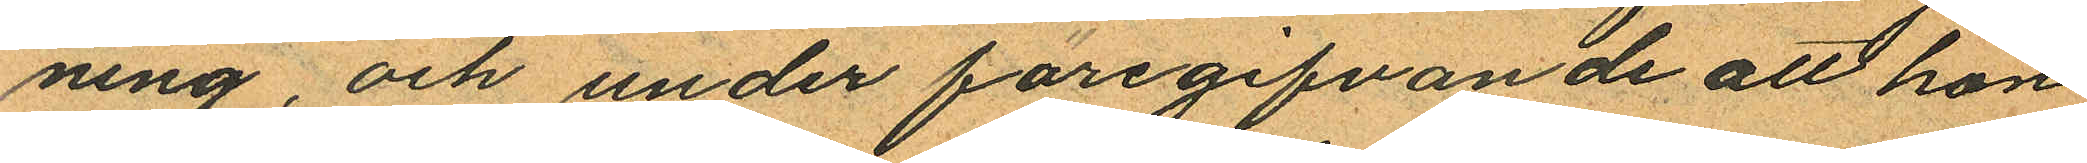ning, och under föregifvande att hon
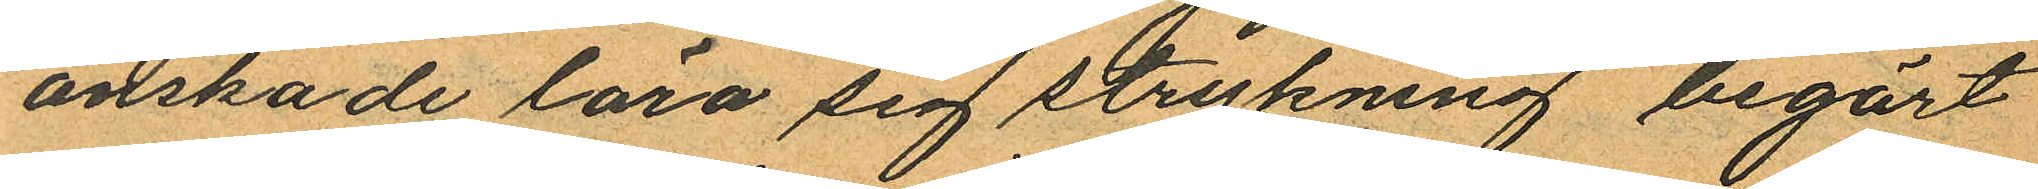önskade lära sig strykning begärt
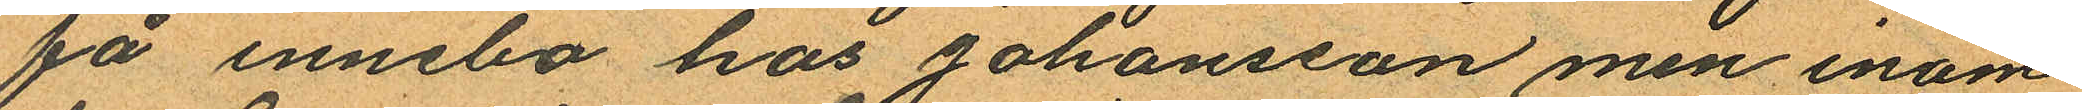få innebo hos Johansson men inom
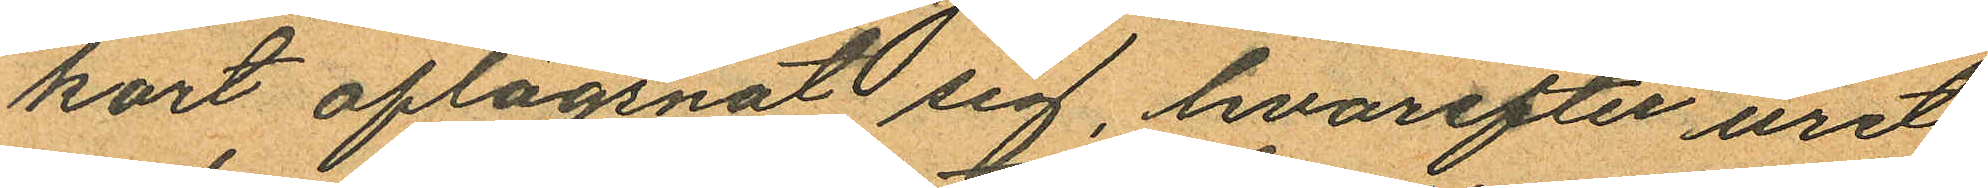kort aflägsnat sig, hvarefter uret
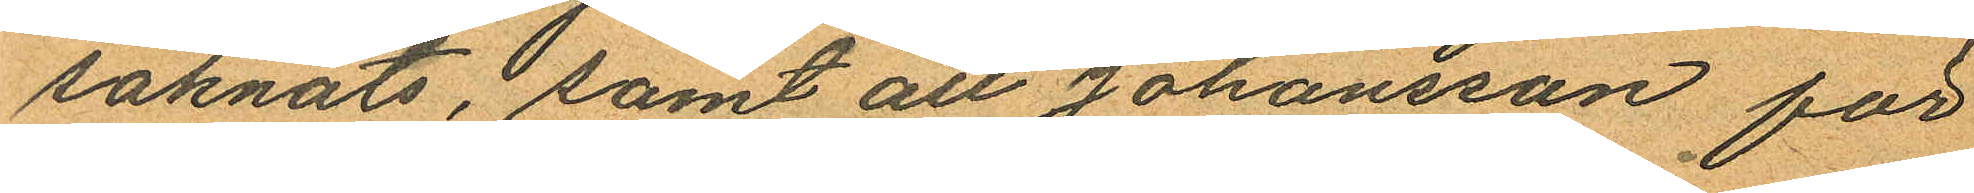saknats; samt att Johansson för
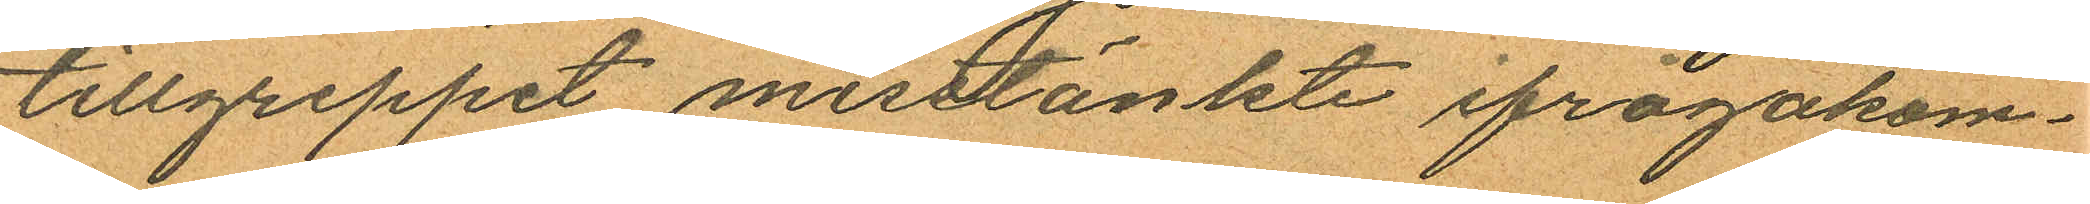tillgreppet misstänkte ifrågakom¬
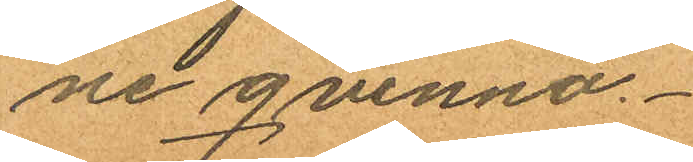ne qvinna.
